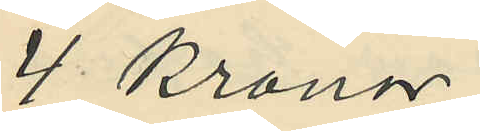4 Kronor;
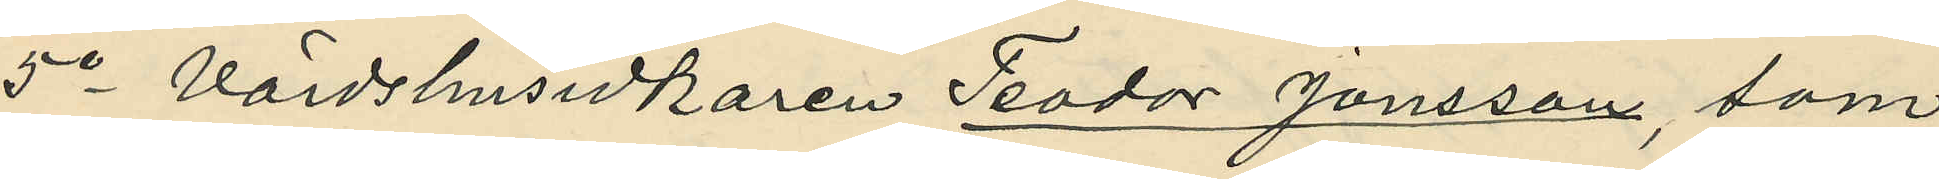5o Värdshusidkaren Teodor Jonsson, som
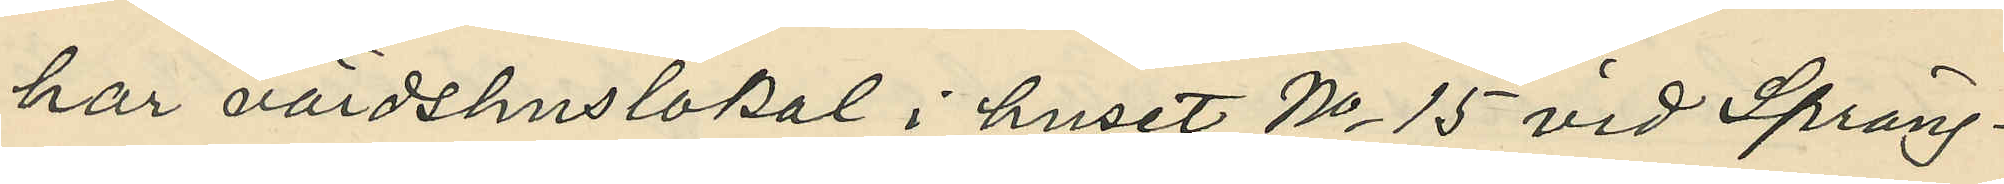har värdshuslokal i huset No 15 vid Spräng¬
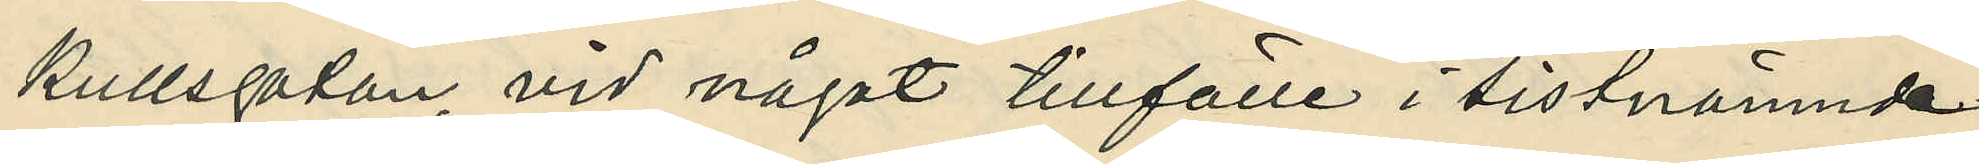kullsgatan, vid något tillfälle i sistnämnde
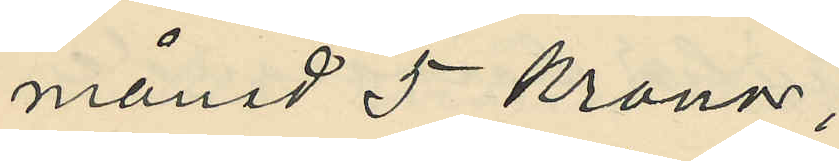månad 5 Kronor;
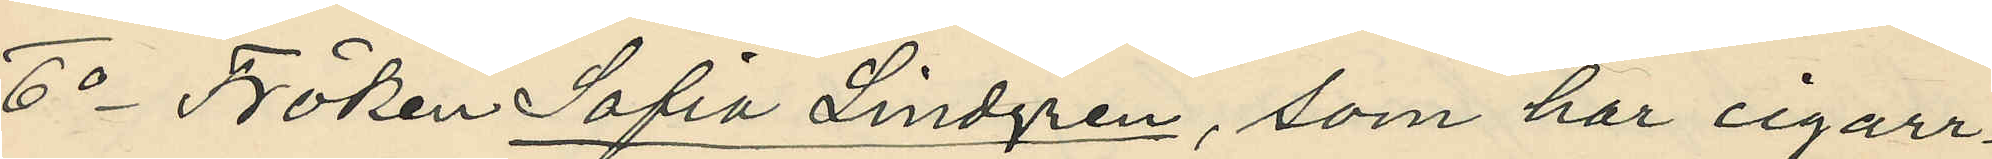6o Fröken Sofia Lindgren, som har cigarr¬
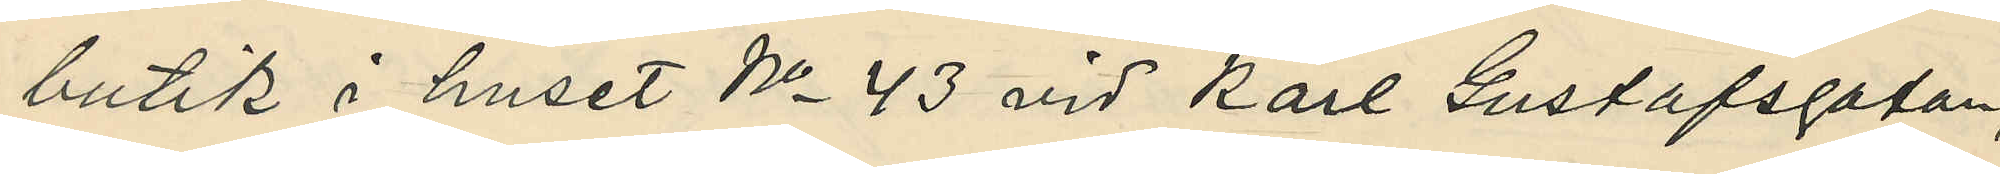butik i huset No 43 vid Karl Gustafsgatan,
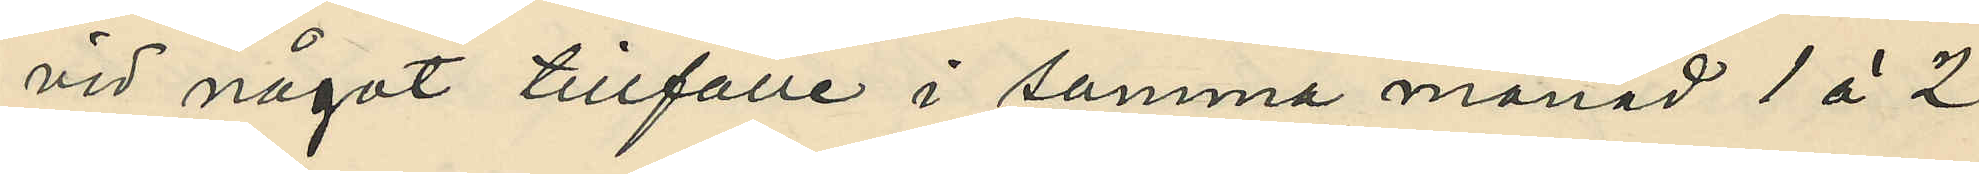vid något tillfälle i samma månad 1 à 2
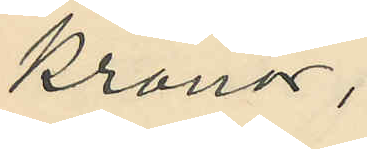Kronor;
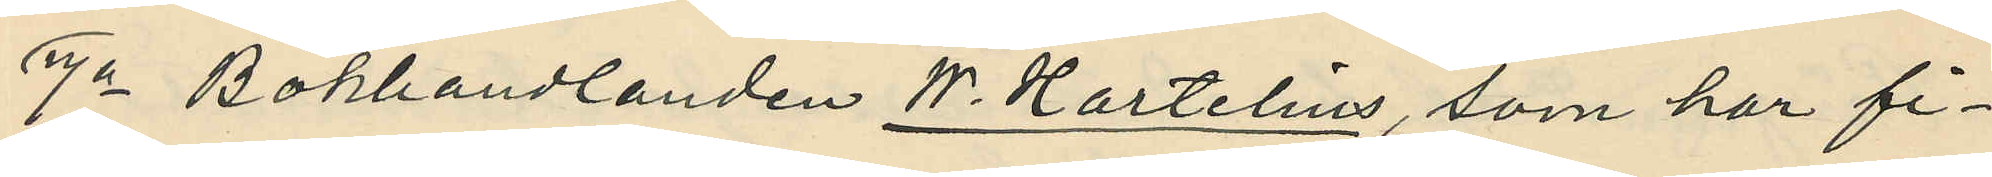7o Bokhandlanden W. Hartelius, som har fi¬
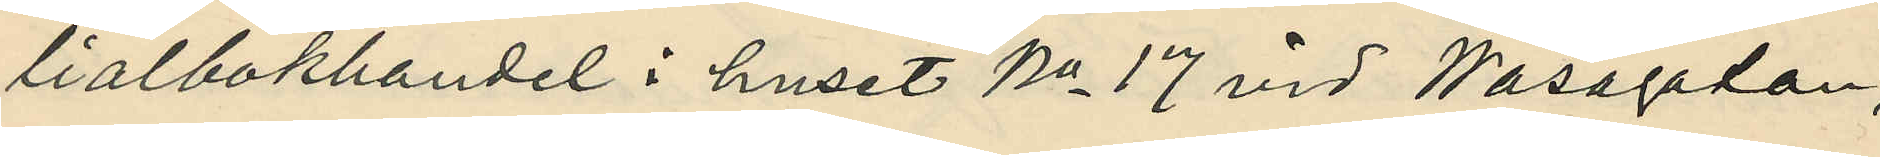lialbokhandel i huset No 17 vid Wasagatan,
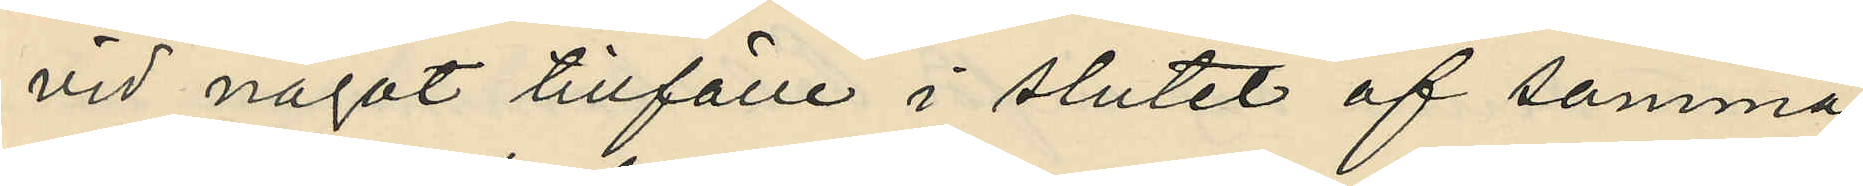vid något tillfälle i slutet af samma
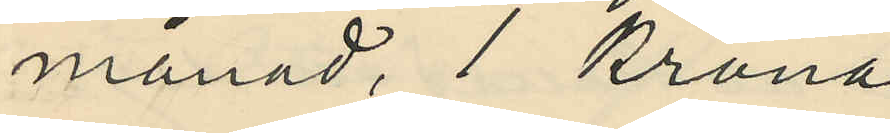månad, 1 Krona;
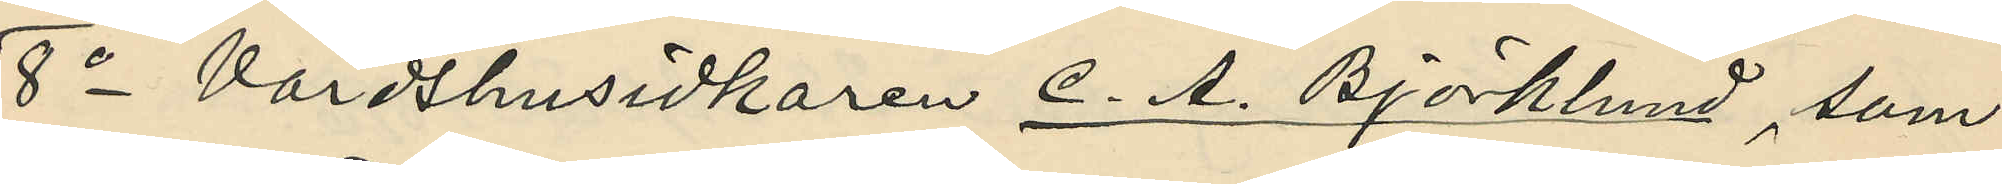8o Värdshusidkaren C. A. Björklund, som
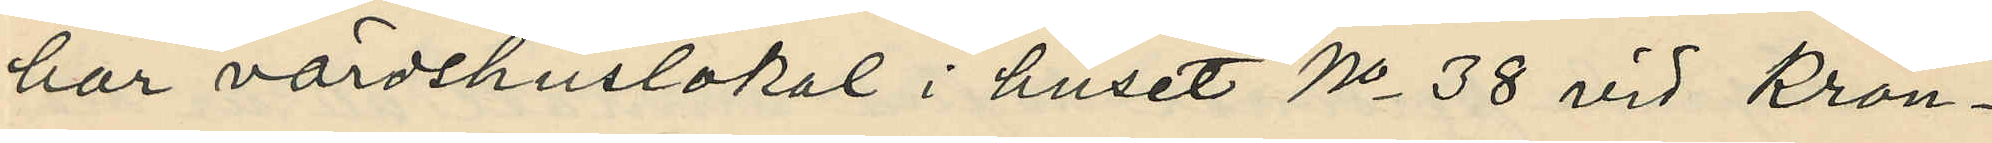har värdshuslokal i huset No 38 vid Kron¬
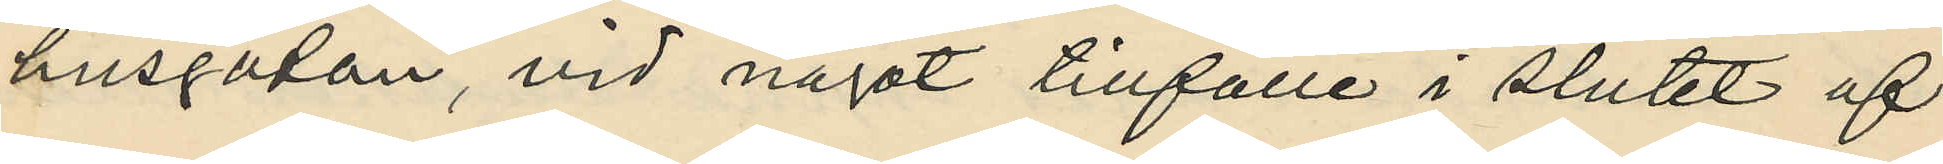husgatan, vid något tillfälle i slutet af
